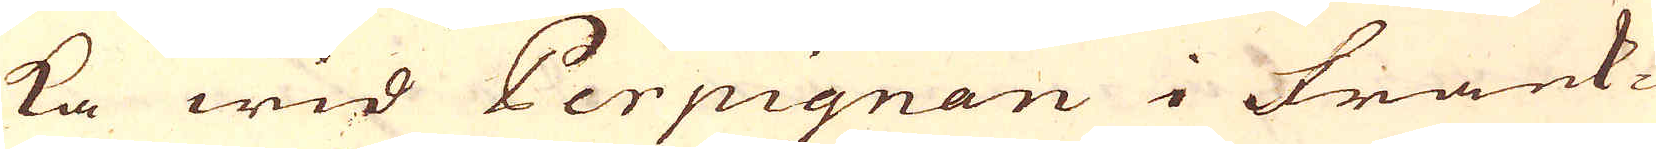ka wid Perpignan i Frank-
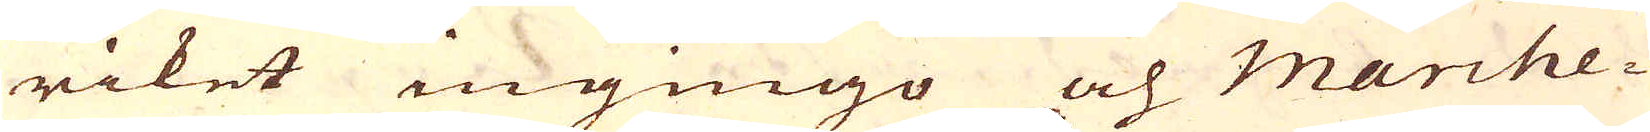riket ingingo och marche-
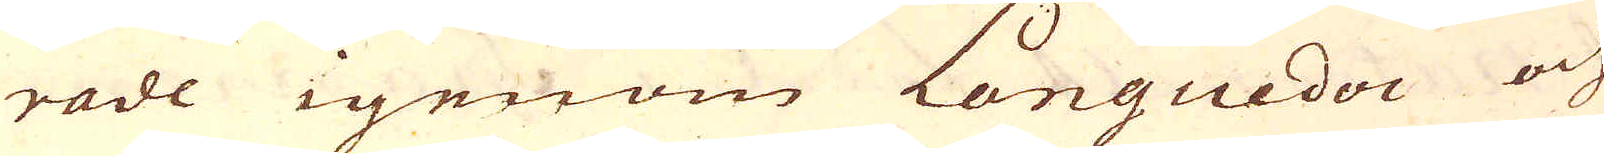rade igenom Languedoc och
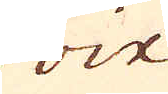Foix
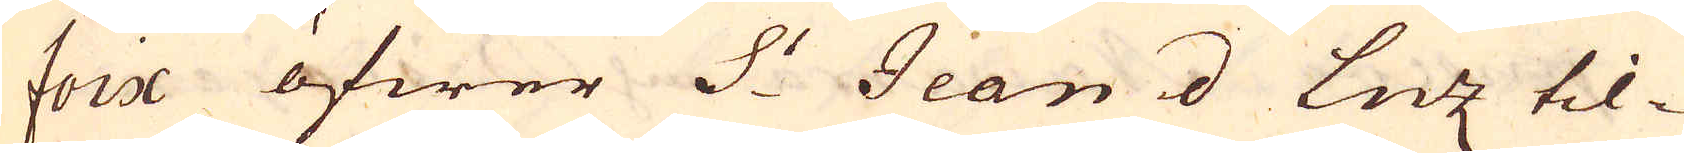Foix öfwer S:t Jean d Luz til-
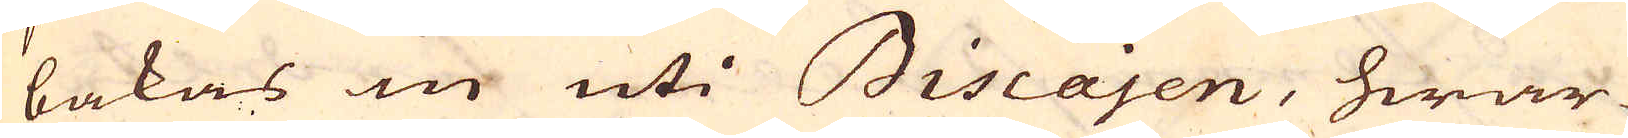bakas in uti Biscajen, hwar-
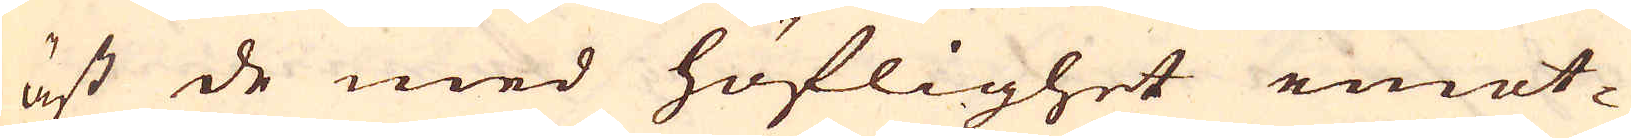äst de med höflighet emot-
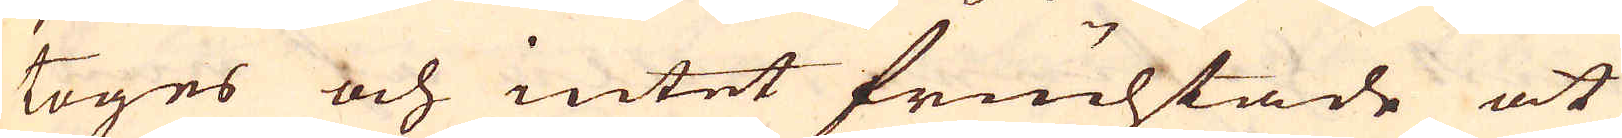toges och intet fruchtade at
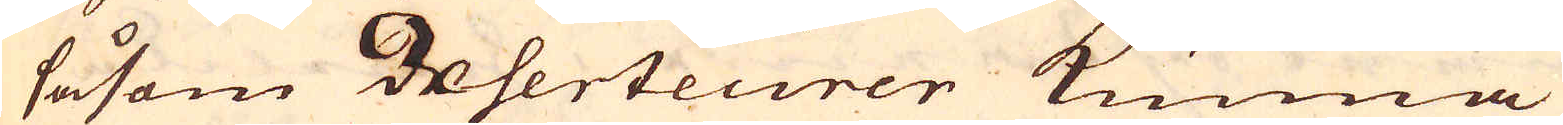såsom deserteurer kunna
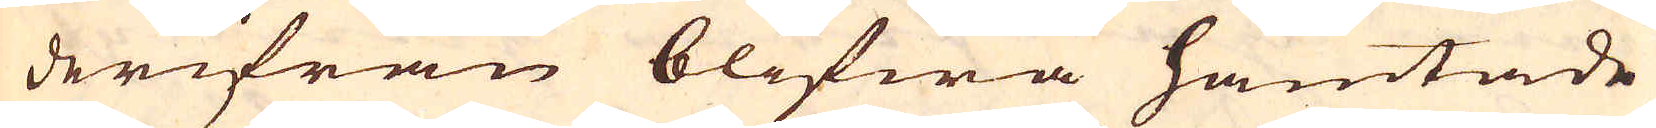derifrån blifwa hämtade
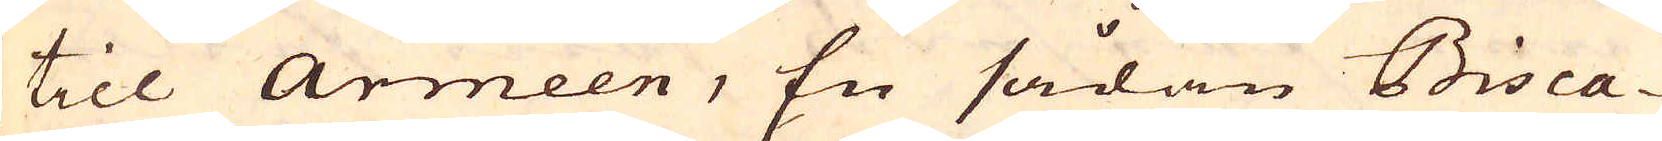till Armeen, En sådan Bisca-
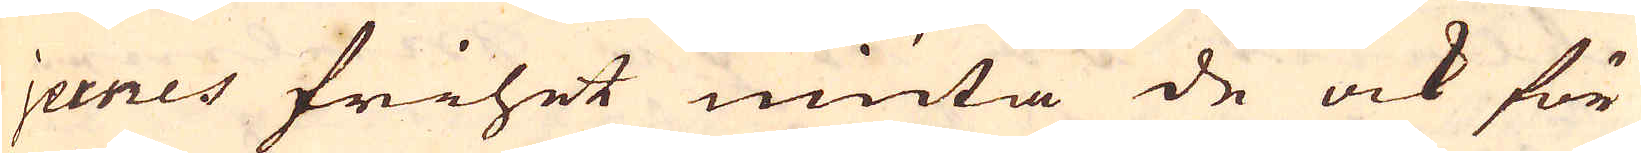jernes frihet niuta de ock för
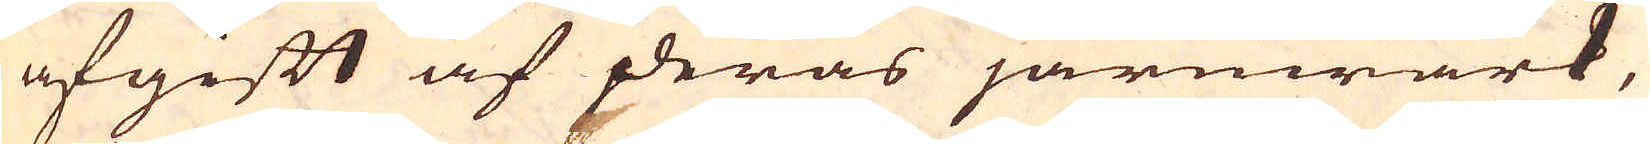afgift af deras järnwärk,
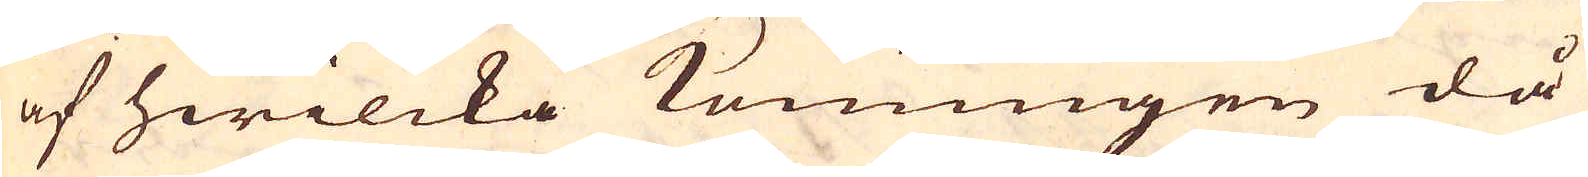af hwilcka Konungen då
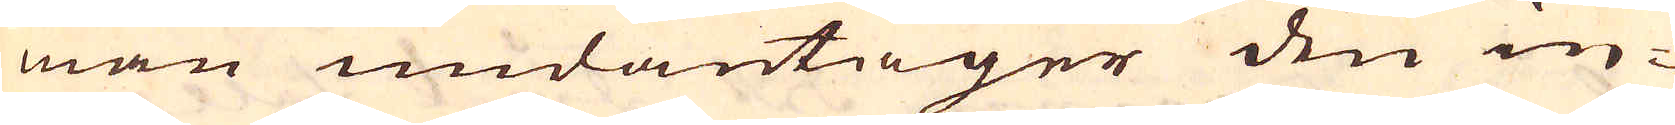man undantager den in-
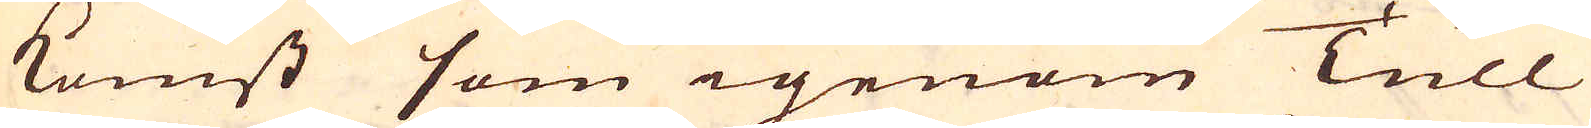komst som igenom Tull
